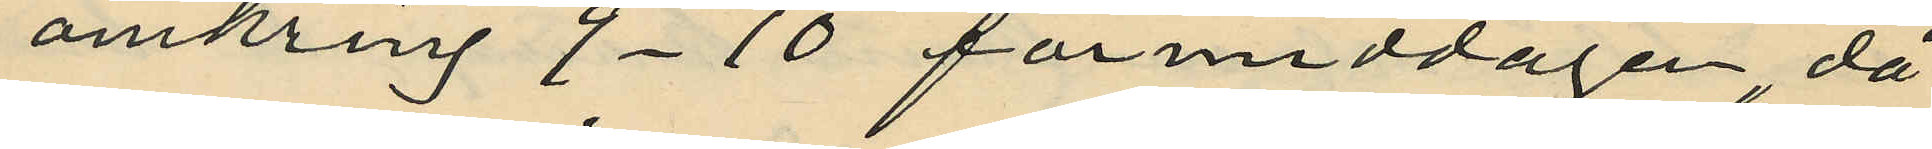omkring 9-10 förmiddagen, då
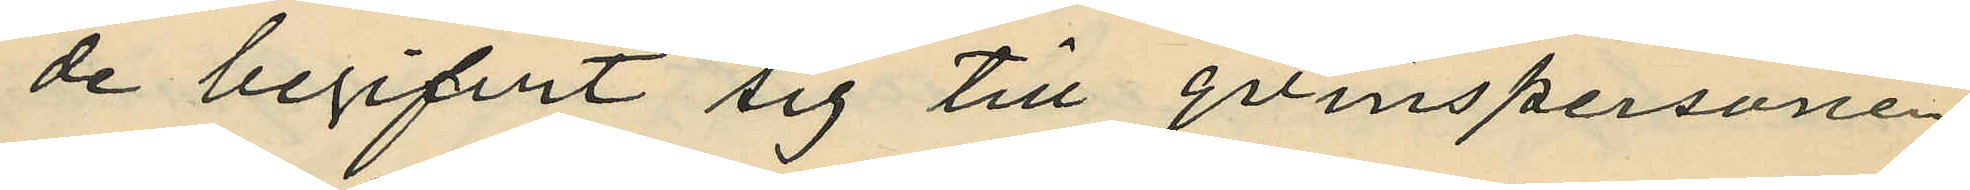de begifvit sig till qvinspersonen
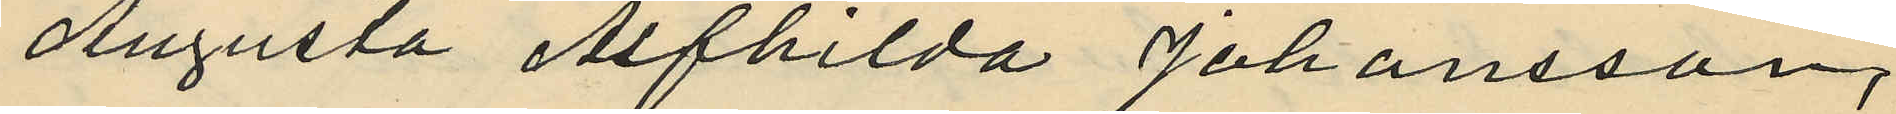Augusta Alfhilda Johansson,
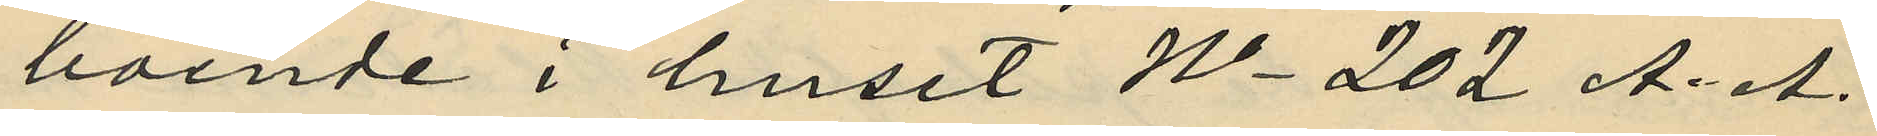boende i huset No 202 A. A.
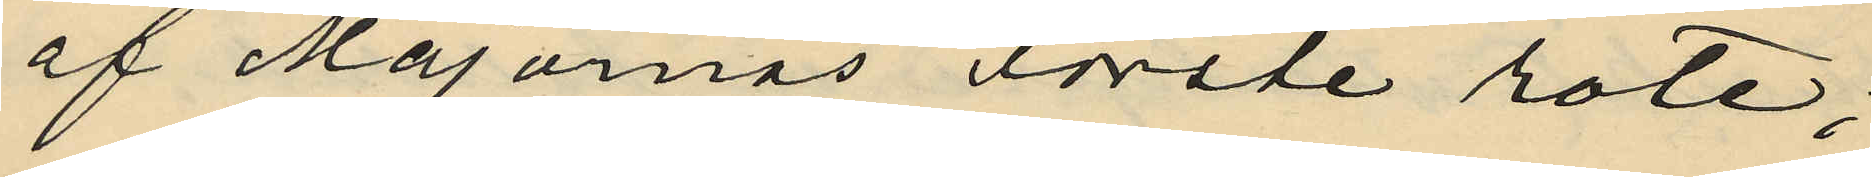af Majornas Förste rote;
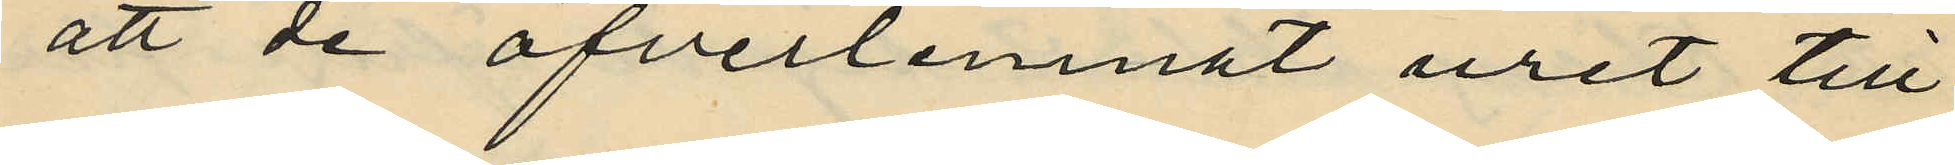att de öfverlemnat uret till
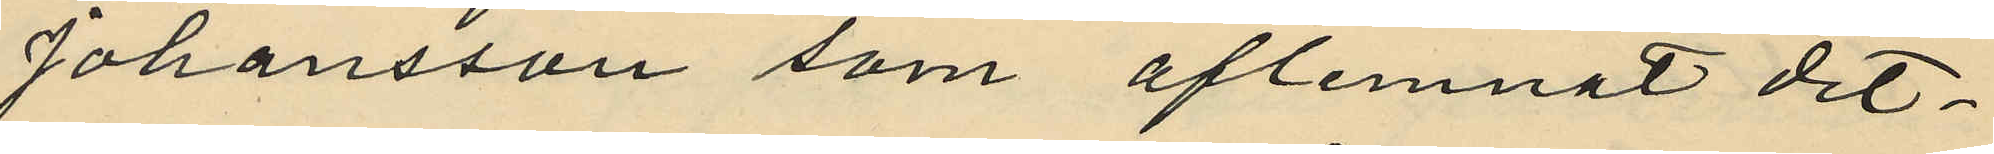Johansson som aflemnat det¬
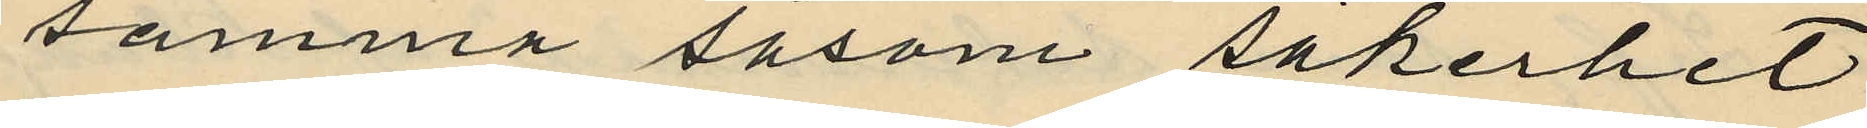samma såsom säkerhet
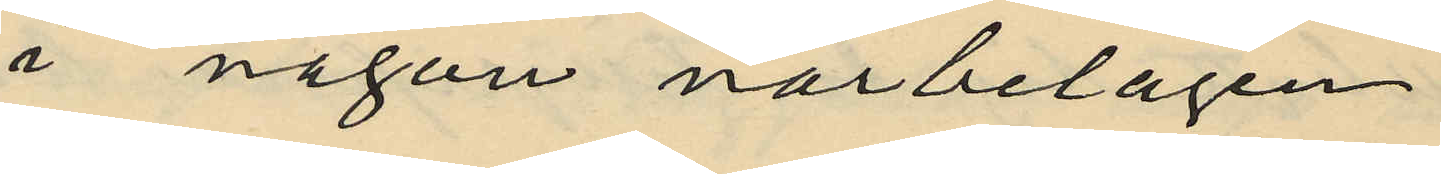i någon närbelägen
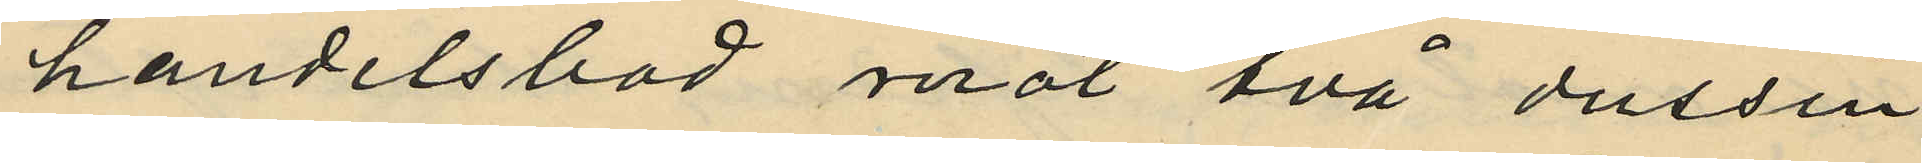handelsbod mot två dussin
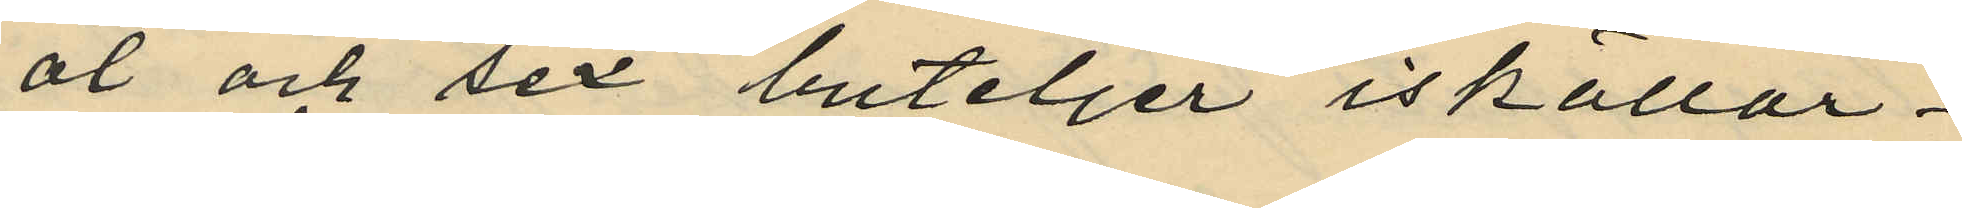öl och sex buteljer iskällar¬
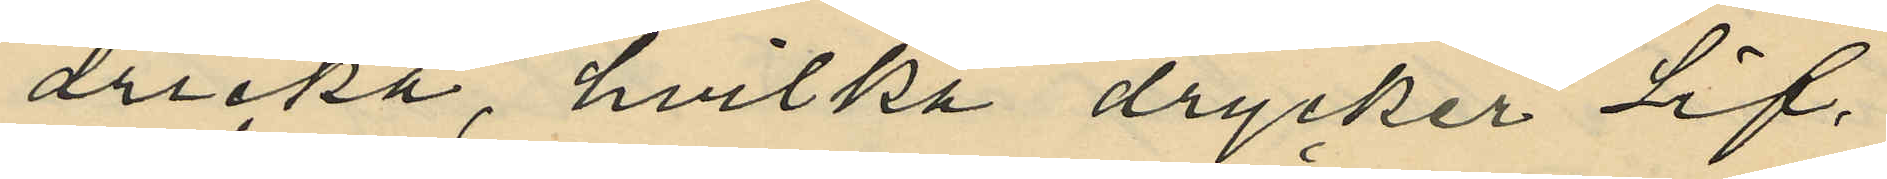dricka, hvilka drycker Lif¬
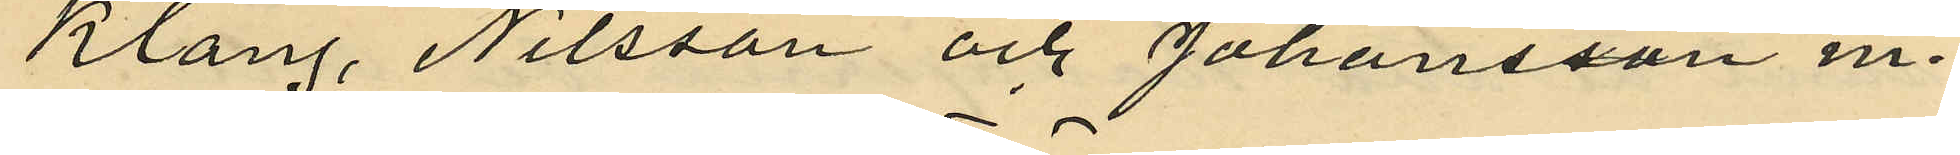Klang, Nilsson och Johansson m
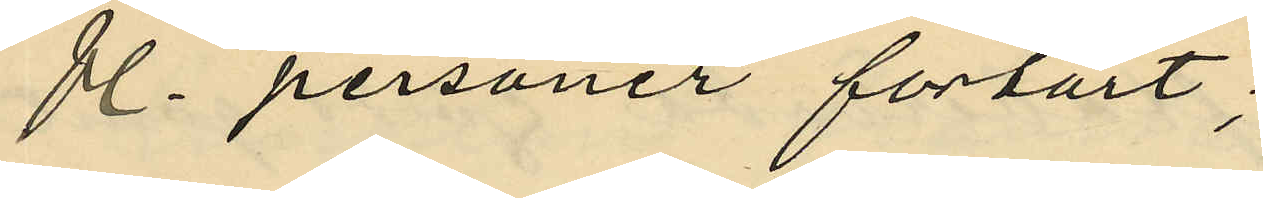fl. personer förtärt;
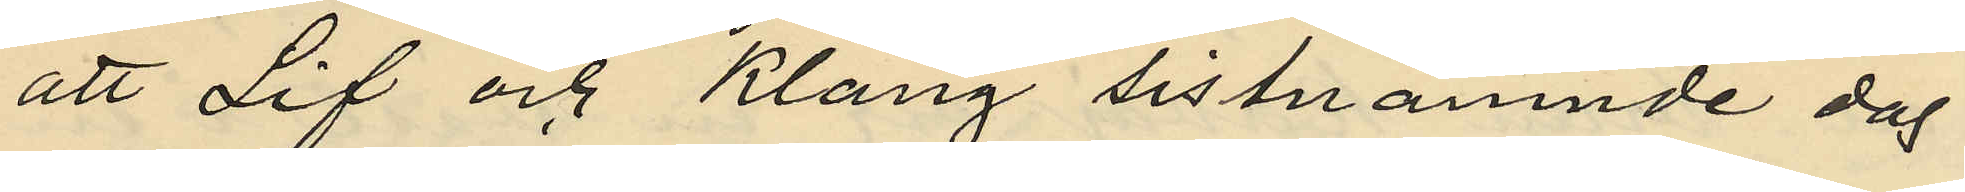att Lif och Klang sistnämnde dag
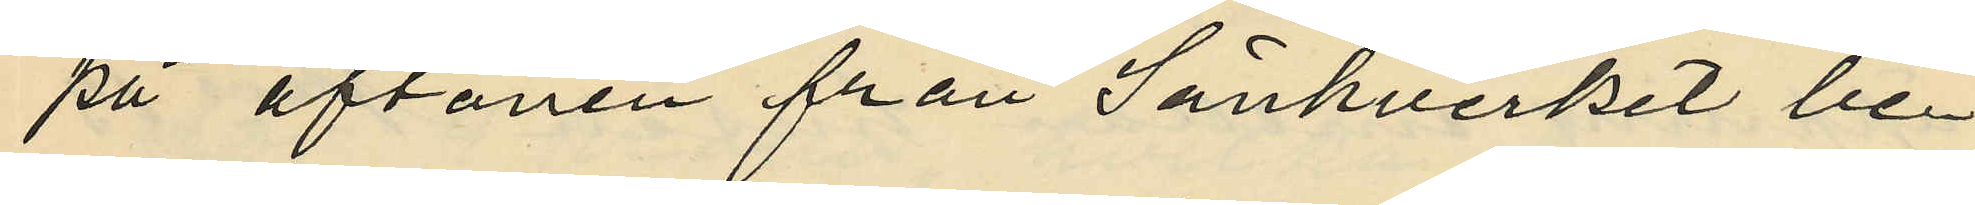på aftonen från Sänkverket be¬
